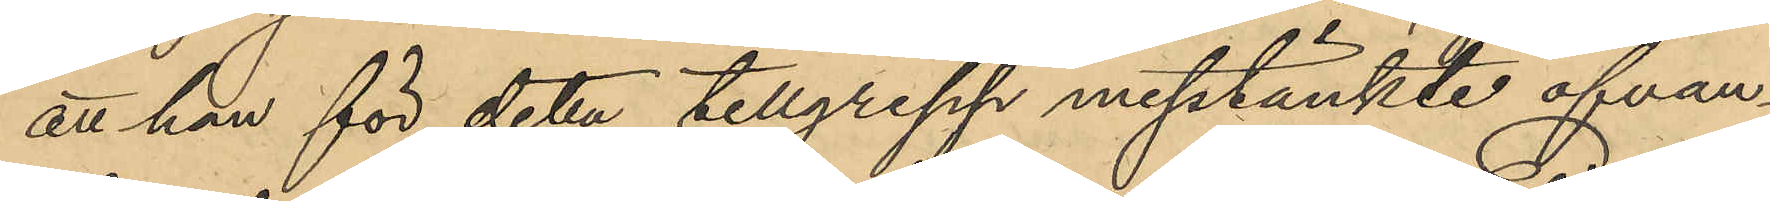att han för deta tillgrepp misstänkte ofvan¬
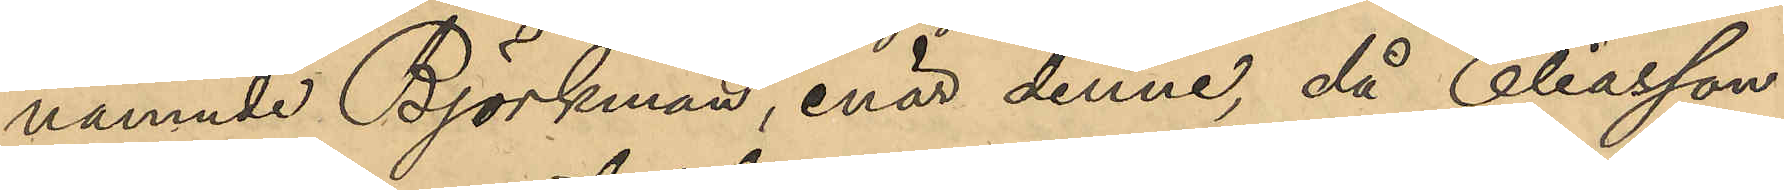nämnde Björkman, enär denne, då Eliasson
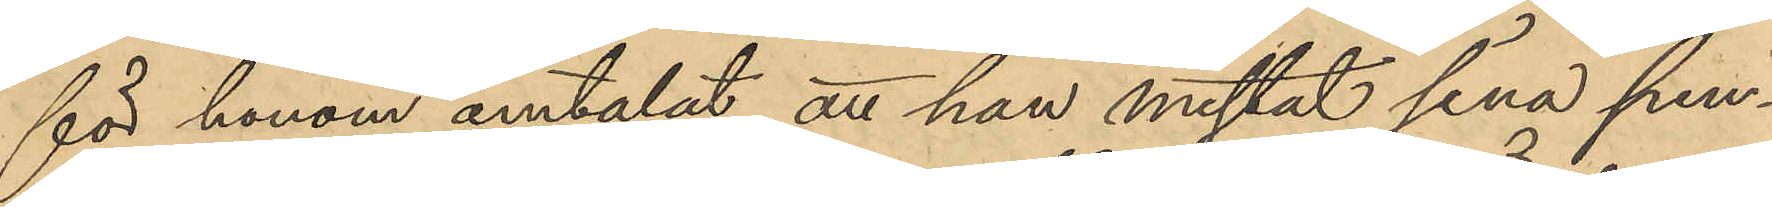för honom omtalat att han mistat sina pen¬
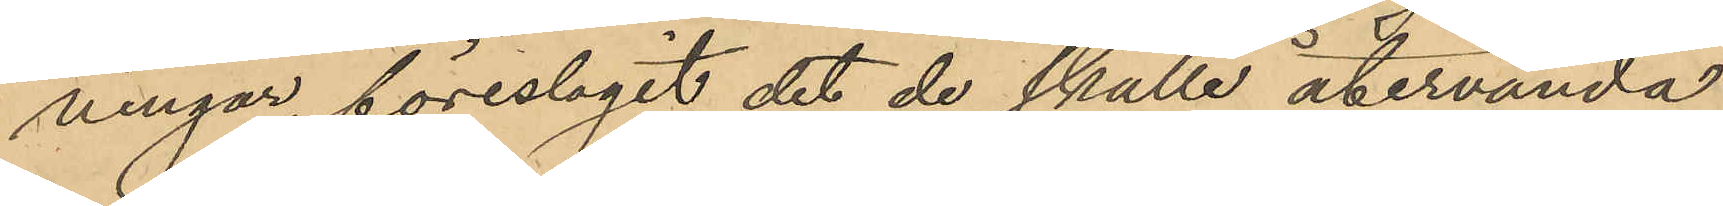ningar, föreslagit det de skulle återvända
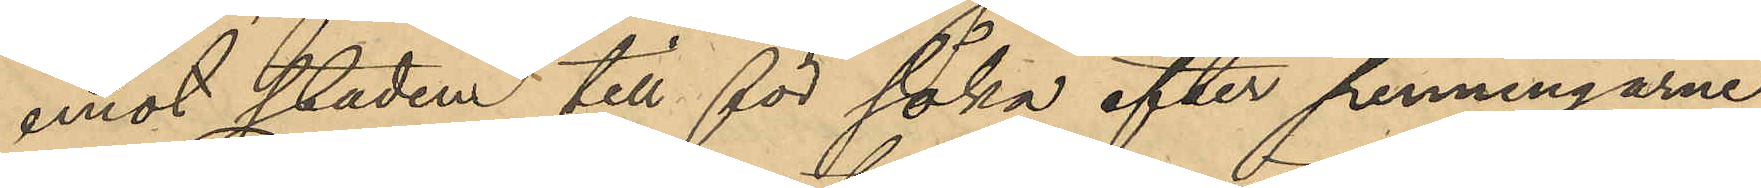emot staden till för söka efter penningarne,
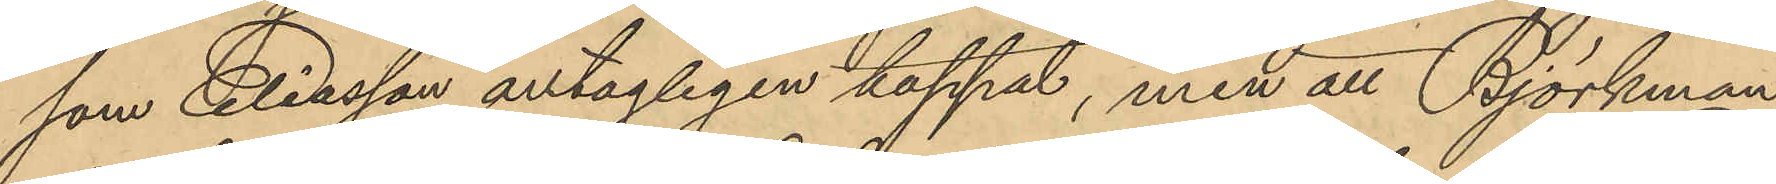som Eliasson antagligen tappat, men att Björkman
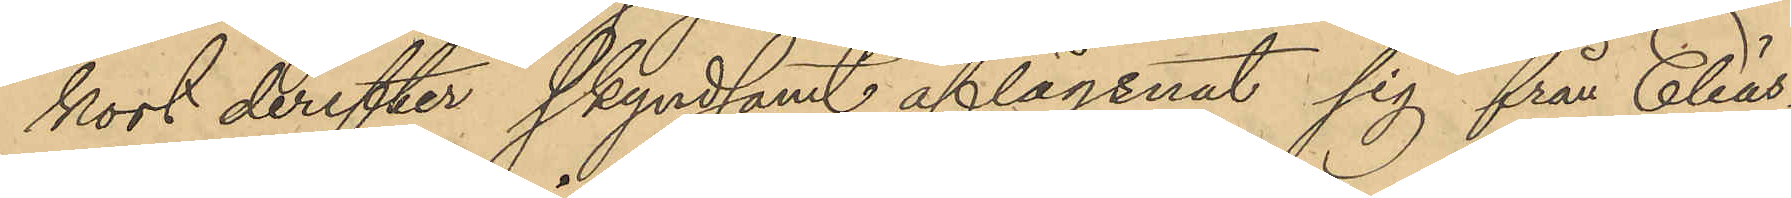kort derefter skyndsamt aflägsnat sig från Elias¬
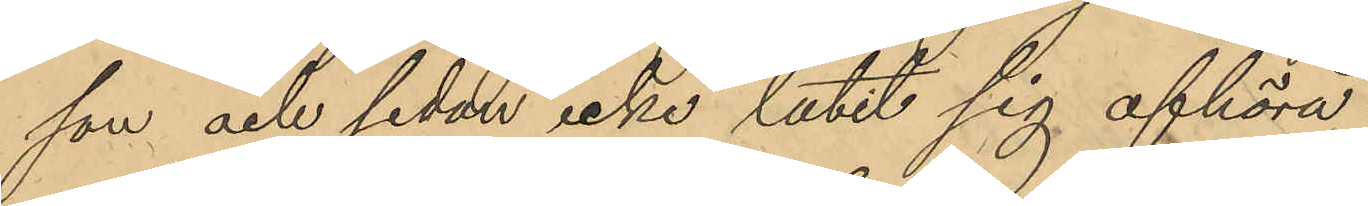son och sedan icke låtit sig afhöra.
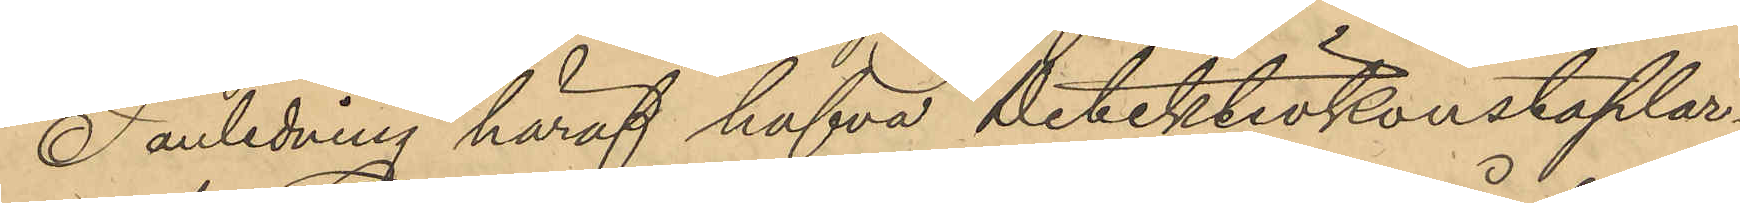I anledning häraf hafva detektivkonstaplar¬
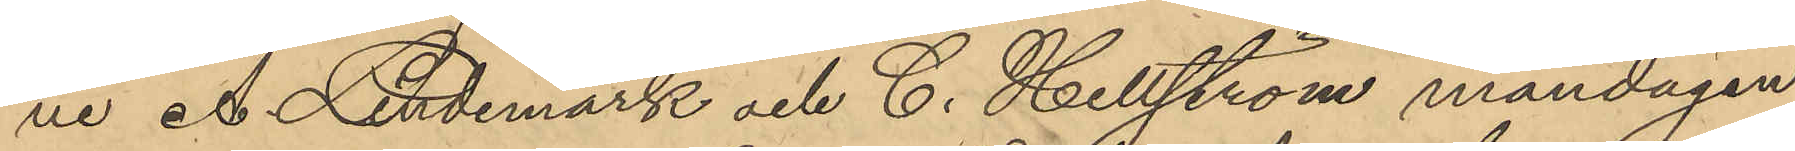ne A. Lindemark och C. Hellström måndagen
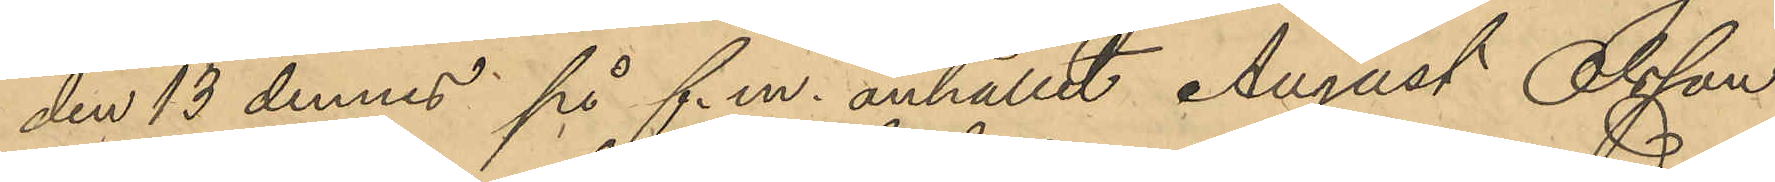den 13 dennes på f.m. anhållit August Olsson
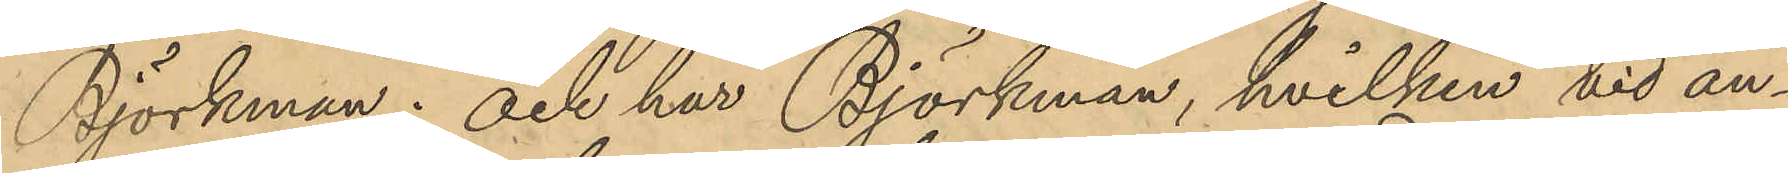Björkman; och har Björkman, hvilken vid an¬
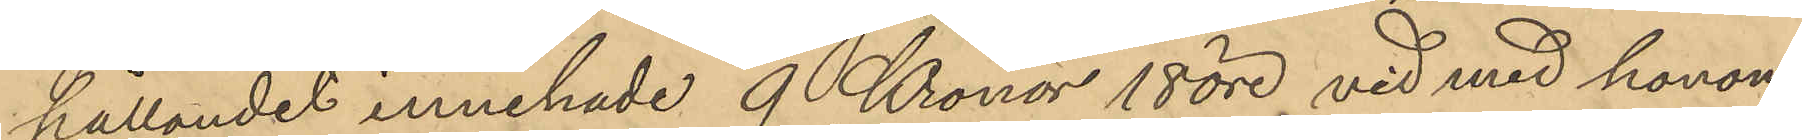hållandet innehade 9 Kronor 18 öre vid med honom
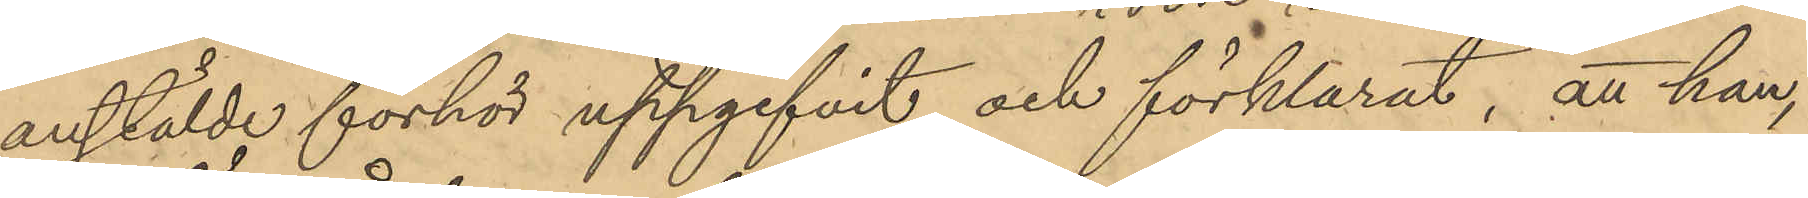anstälde förhör uppgifvit och förklarat, att han,
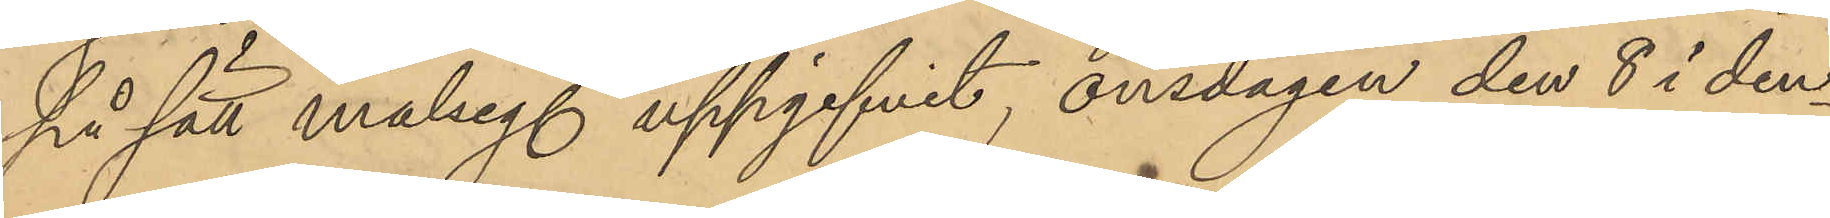på sätt målseg. uppgifvit, onsdagen den 8 i den¬
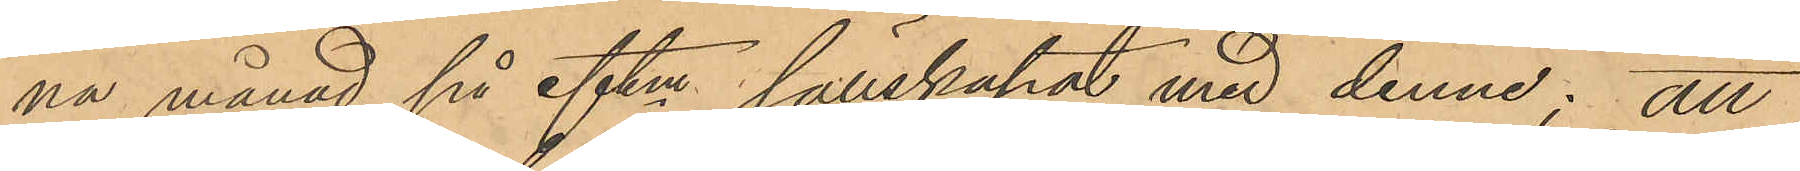na månad på eftm. sällskapat med denne; att
